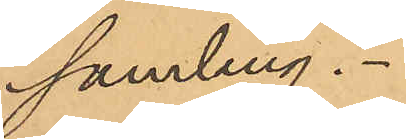samling.
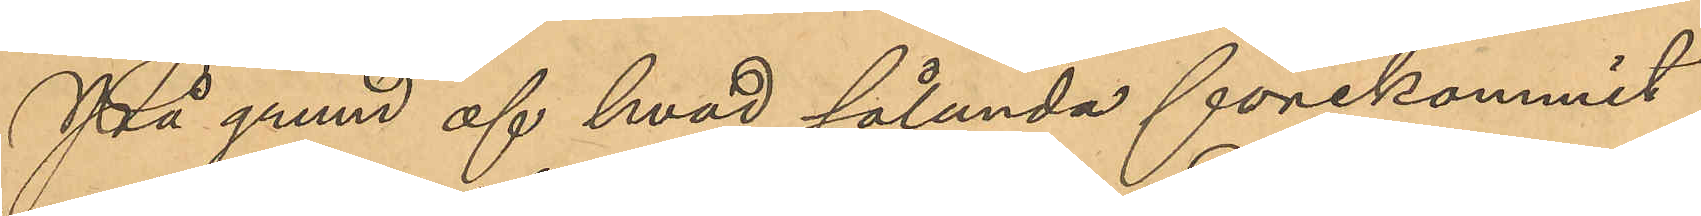På grund af hvad sålunda förekommit
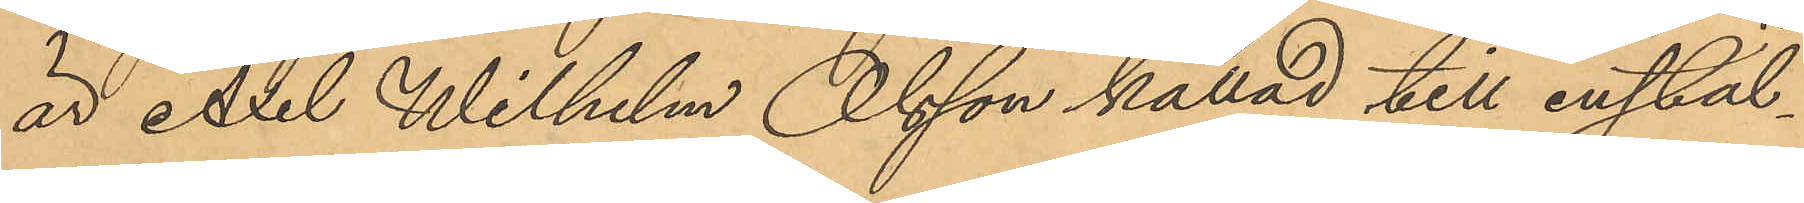är Axel Wilhelm Olsson kallad till instäl¬
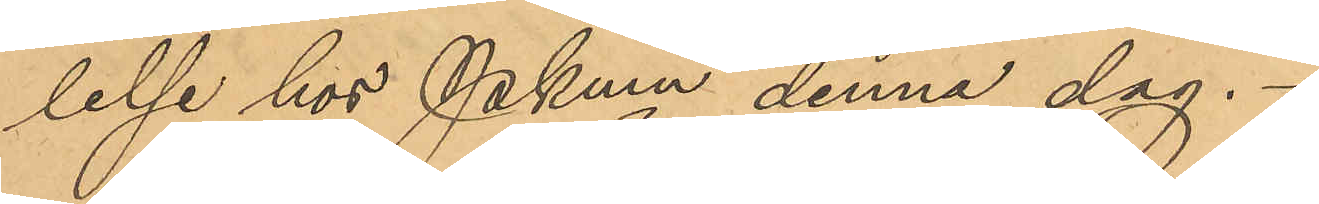lelse hos Pkmn denna dag.
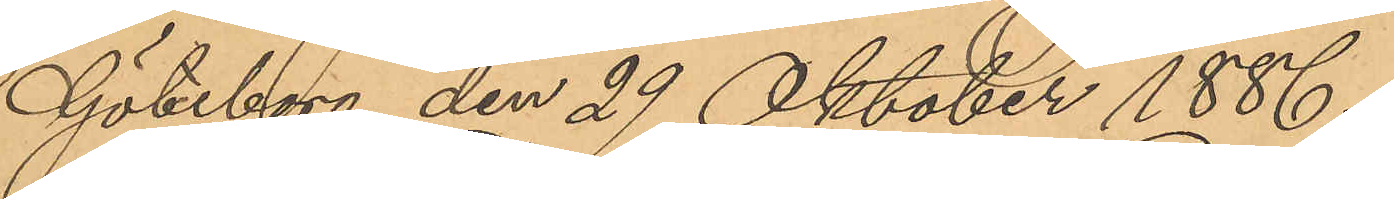Göteborg den 29 Oktober 1886.
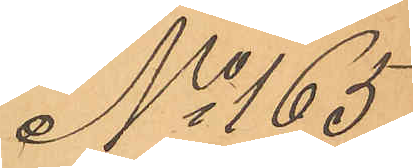No 165
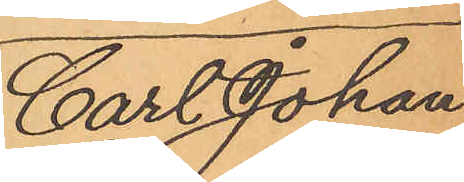Carl Johan
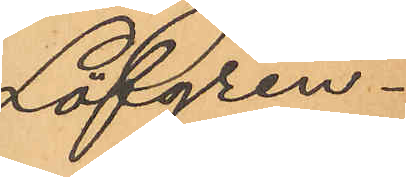Löfgren.
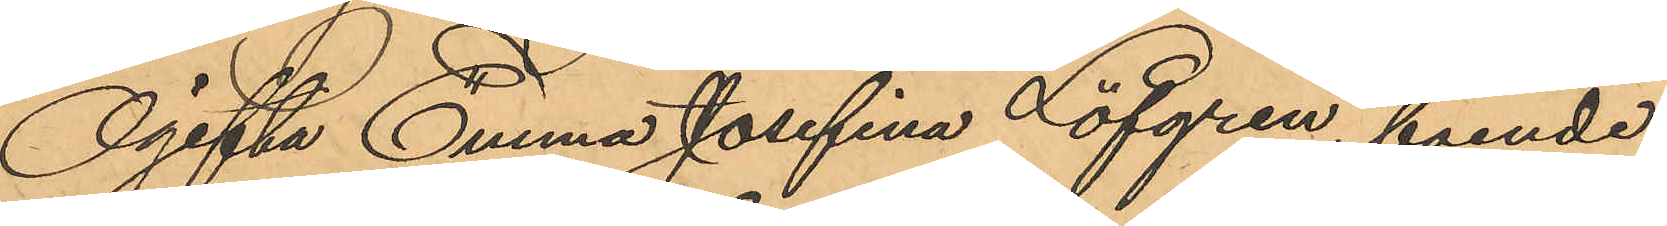Ogifta Emma Josefina Löfgren, boende
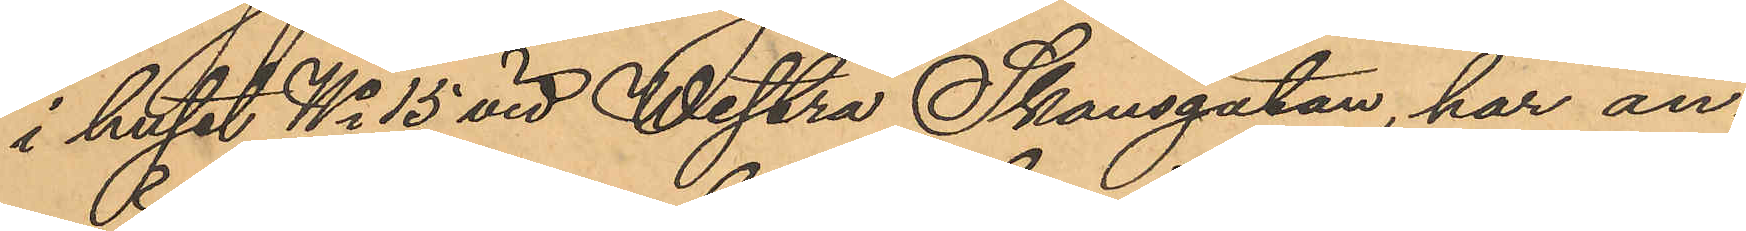i huset No 15 vid Westra Skansgatan, har an¬
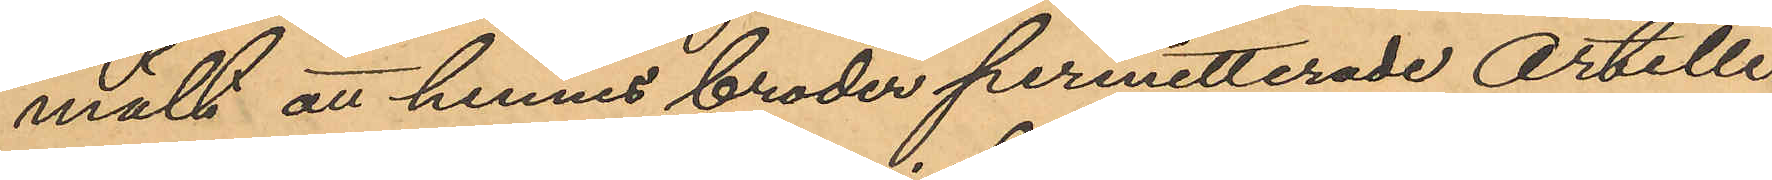mält att hennes broder permitterade Artille¬
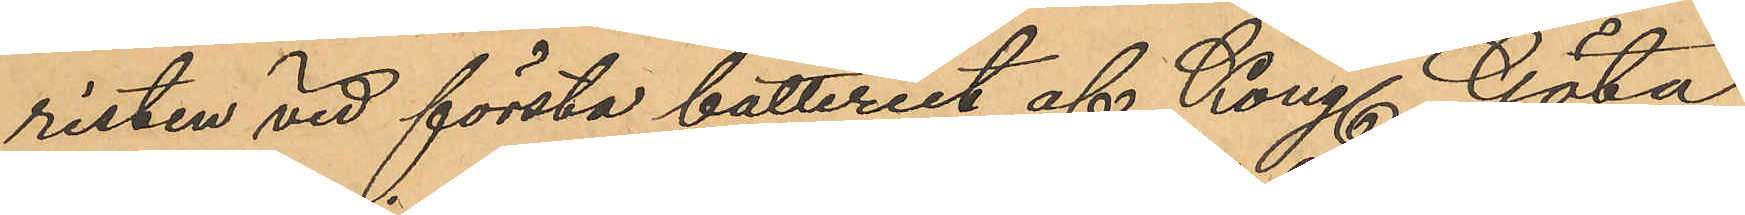risten vid första batteriet af Kong. Göta
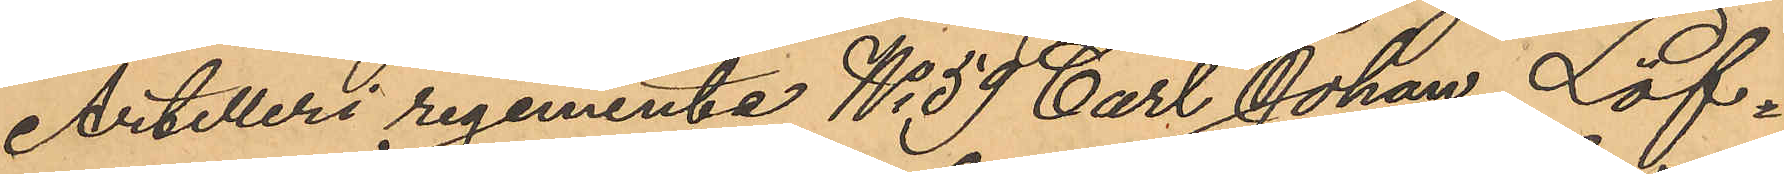Artilleri regemente No 59 Carl Johan Löf¬
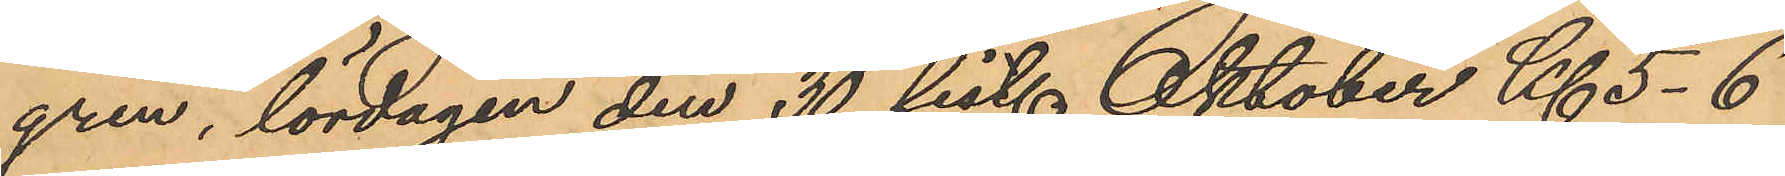gren, lördagen den 30 sist. Oktober Kl. 5-6
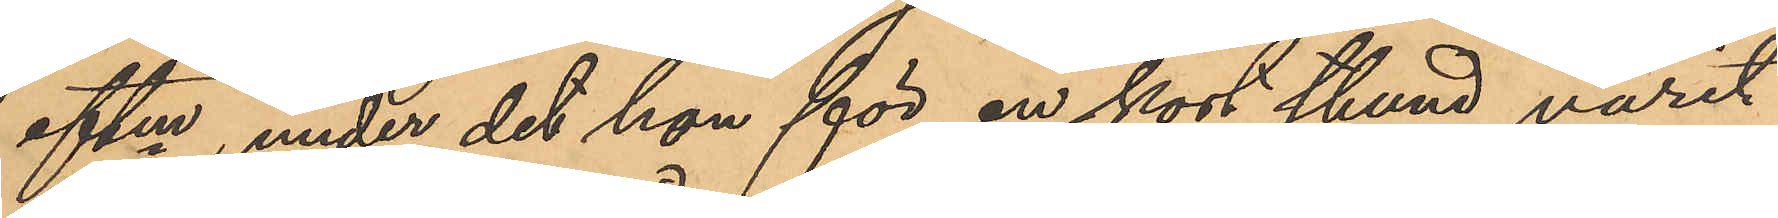eftm, under det hon för en kort stund varit
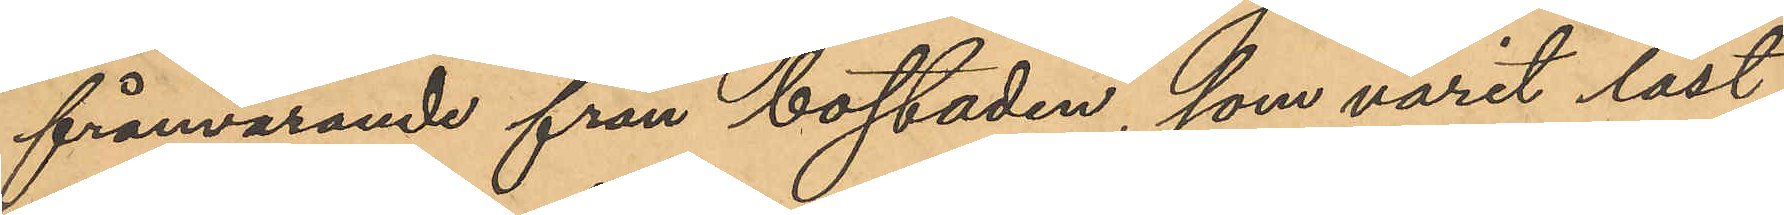frånvarande från bostaden, som varit låst,
